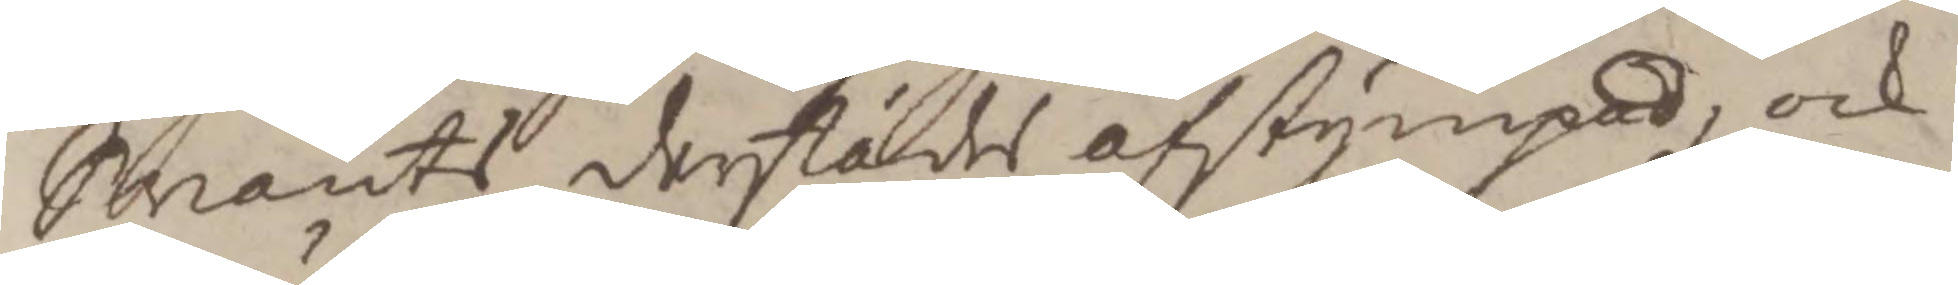Svents derstädes afstympad, och
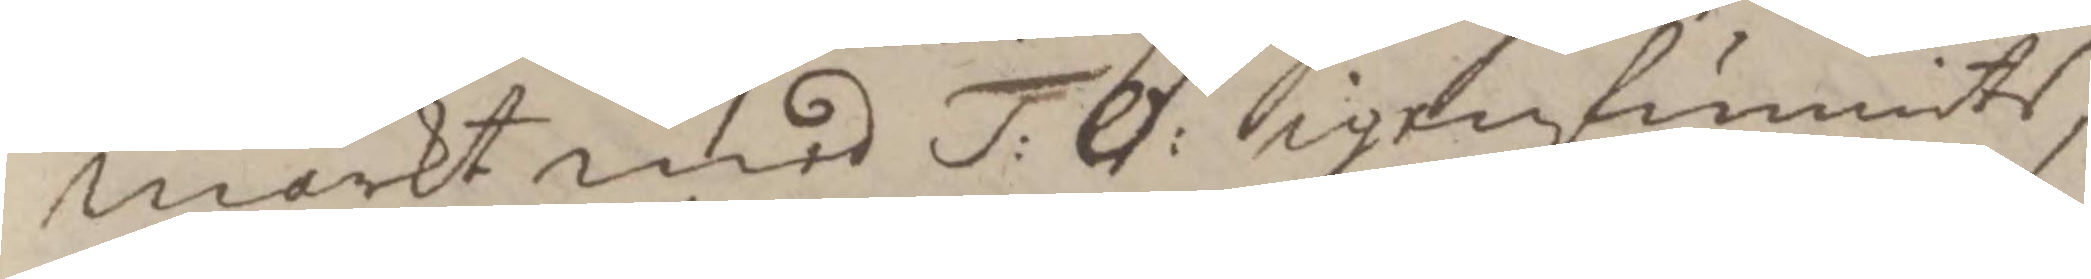märkt med T:O: igenfunnits,
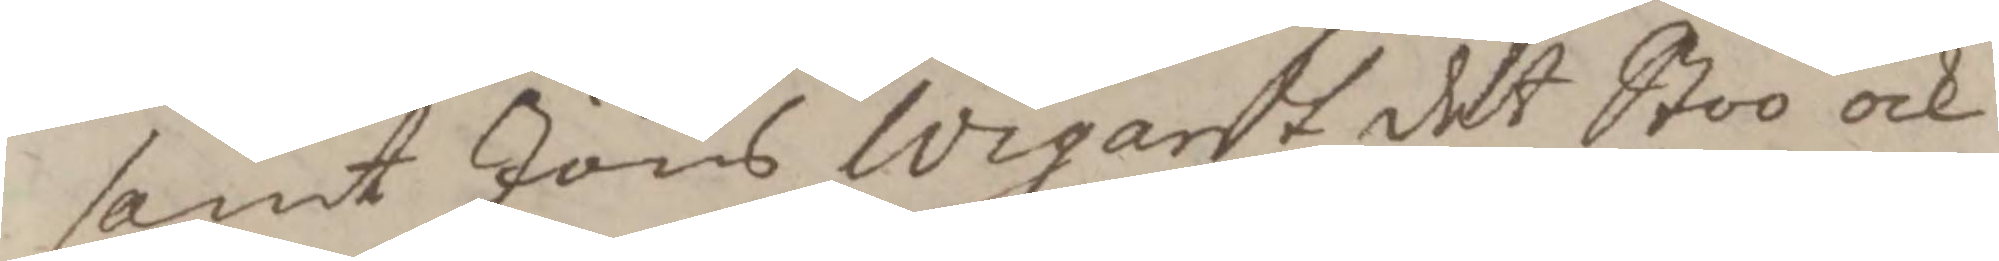samt Jöns Wigardt det Stoo ock 
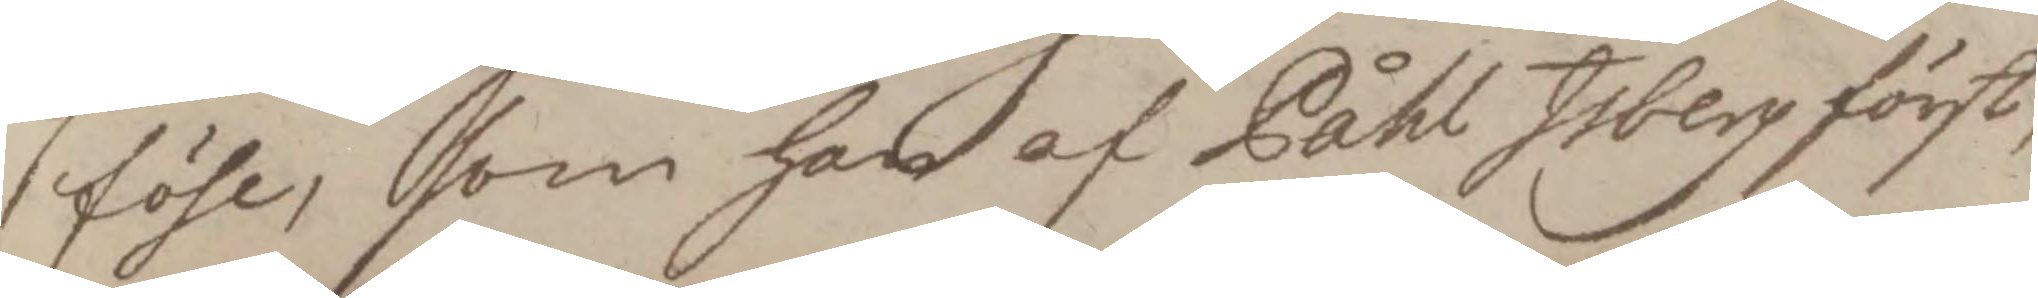föhl, som han af Påhl Isberg först;
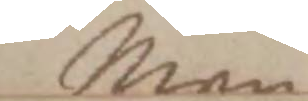Men
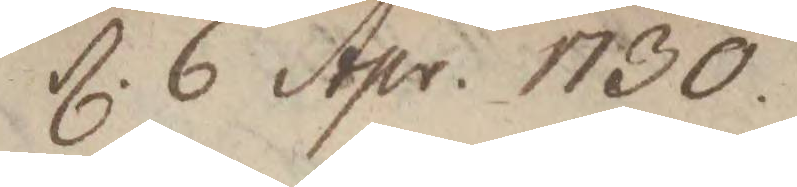d. 6 Apr: 1730. 
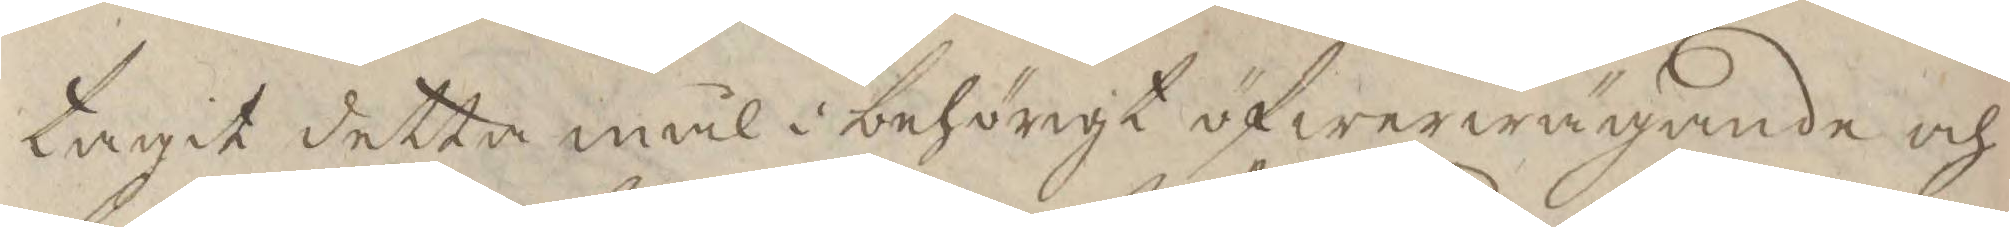tagit detta mål i behörigt öfwerwägande och
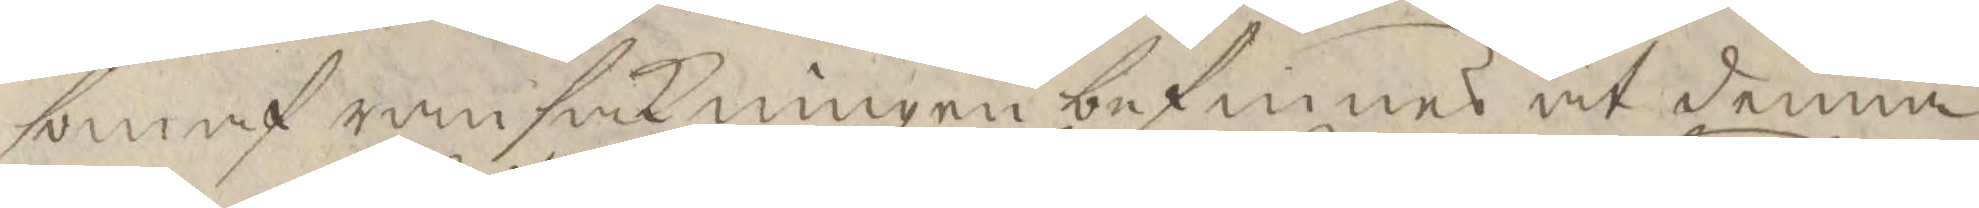som af ransakningen befinnes at denna
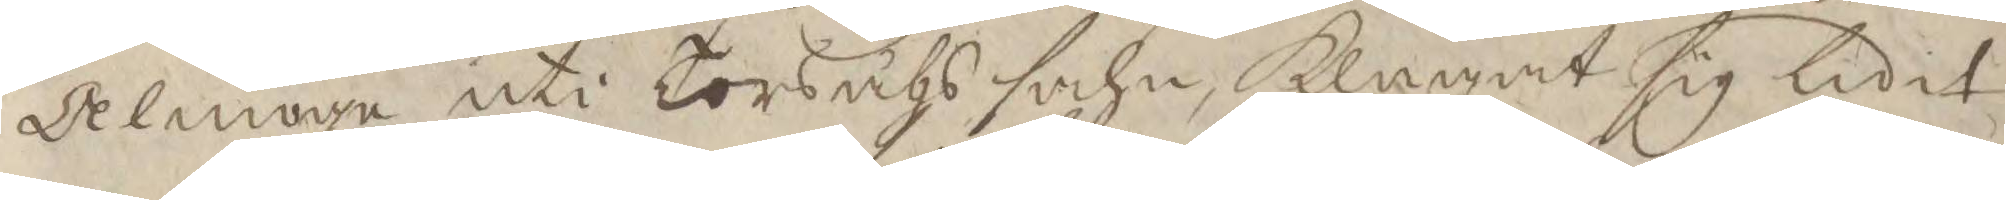Almoge uti Torsåhs sohn, klagat sig lidit
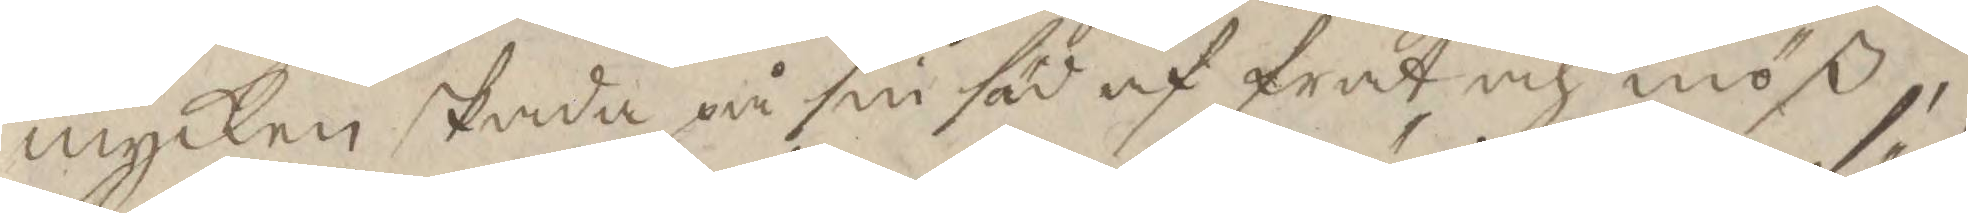mycken skada på sin säd af frat och möß,
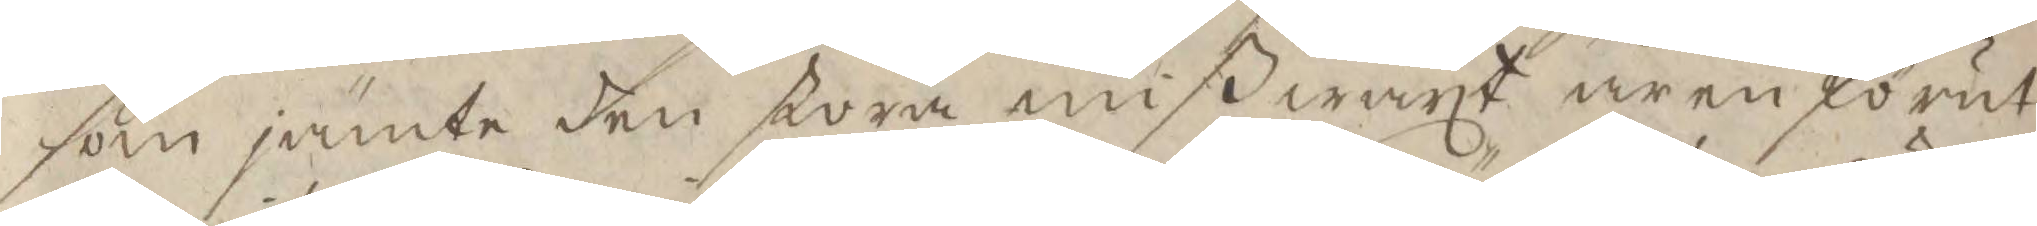som jämte den stora mißwäxt åren förut
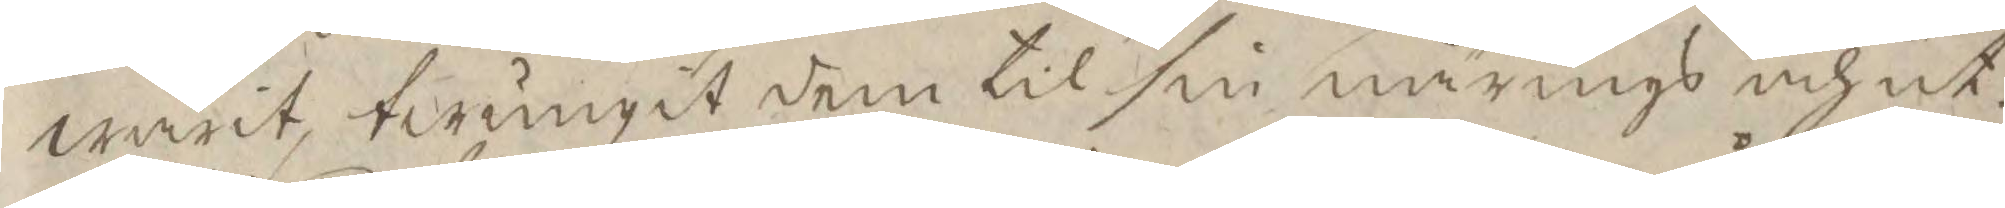warit, twungit dem til sin närings och ut¬
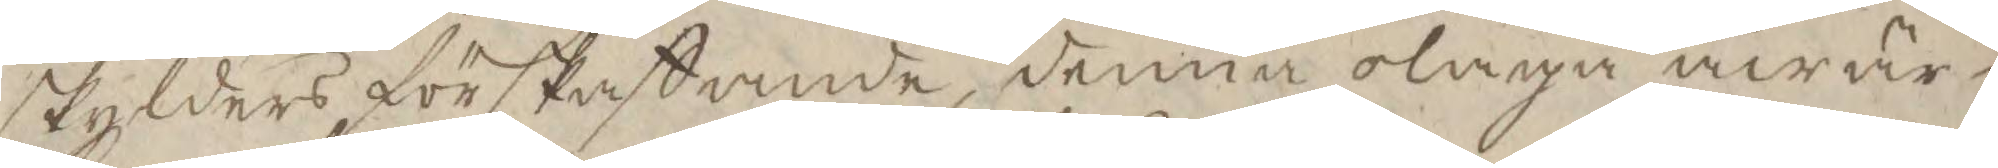skylders förskaffande denna olaga åwär¬
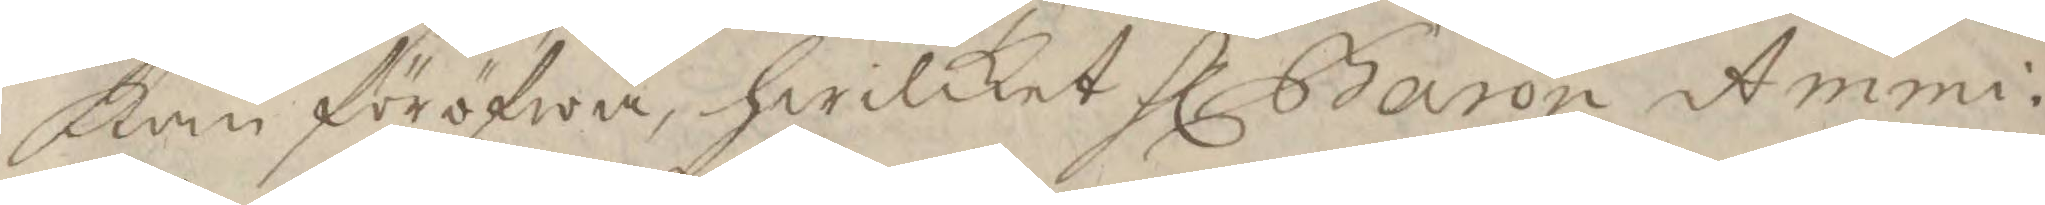kan föröfwa, hwilket Hl Baron Ammi¬ 
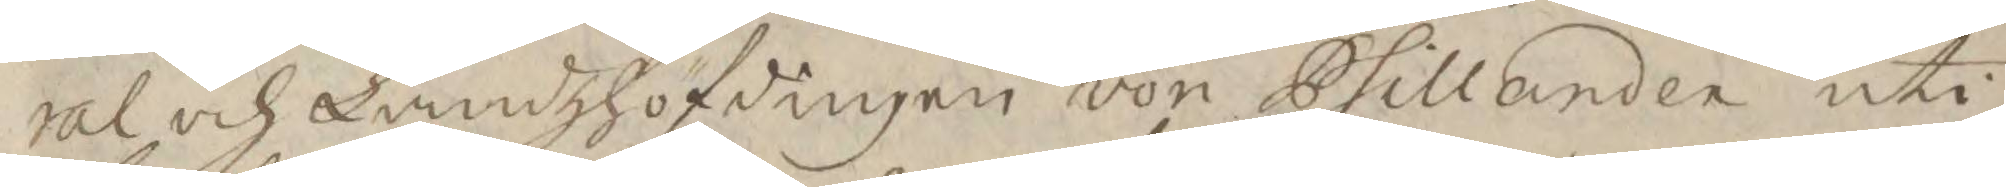ral och Landzhöfdingen von Phillander uti
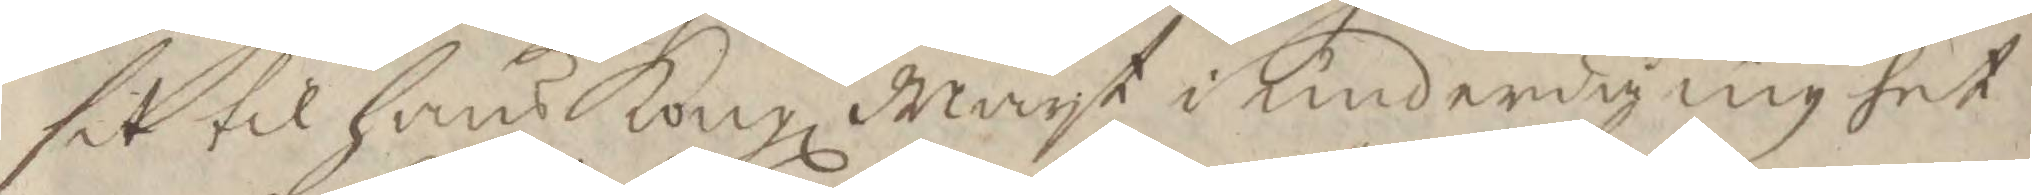sit til hans Kongl. Mayt i underdånighet 
